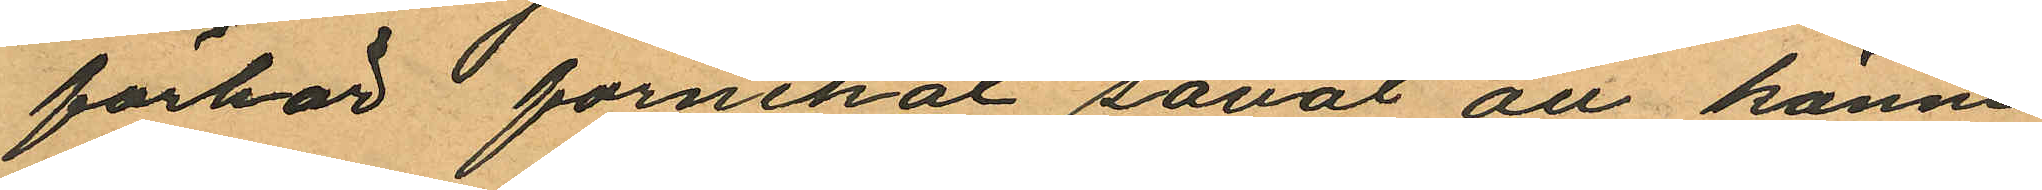förhör förnekat såväl all känne
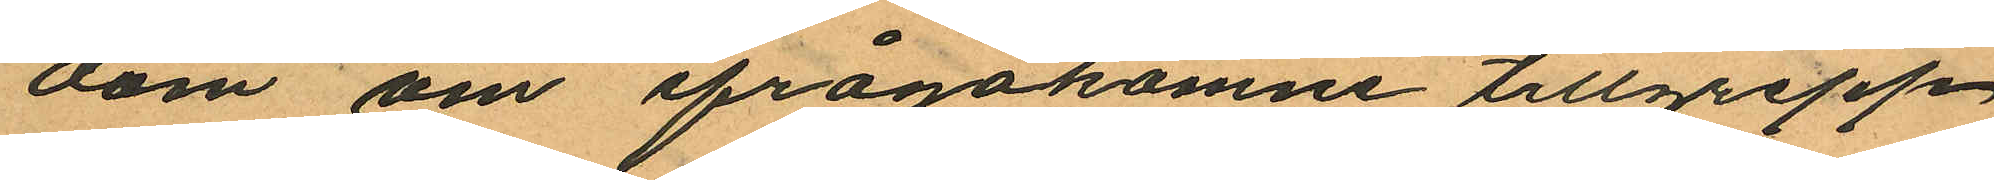dom om ifrågakomne tillgrepp
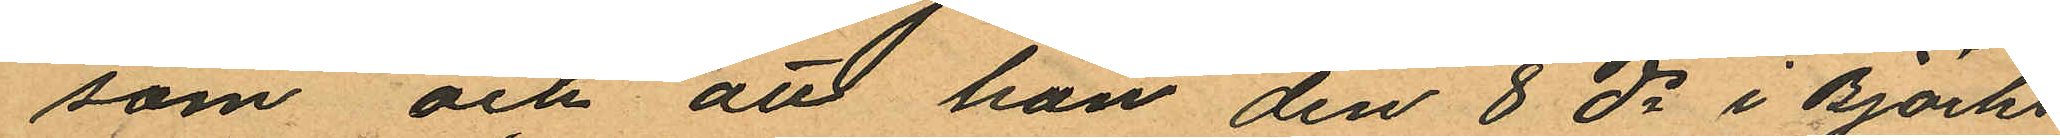som och att han den 8 ds i Björks
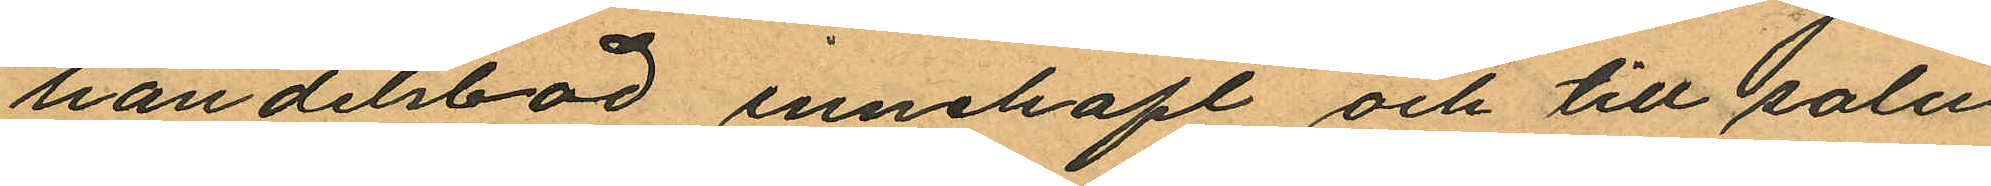handelsbod innehaft och till salu
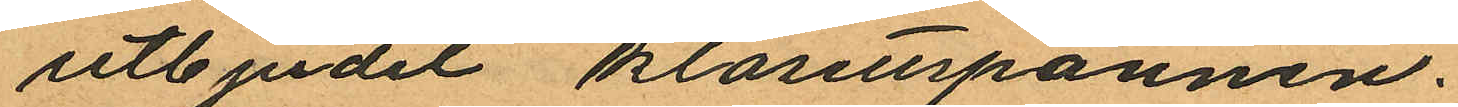utbjudit klosettspannen.
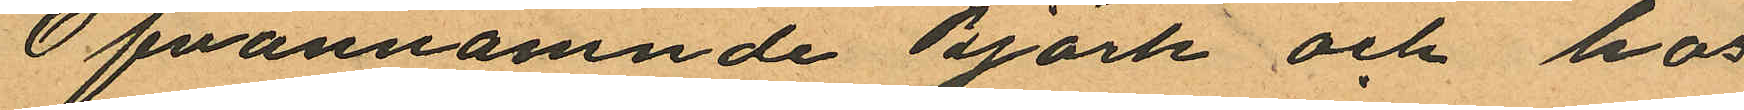Ofvannämnde Björk och hos
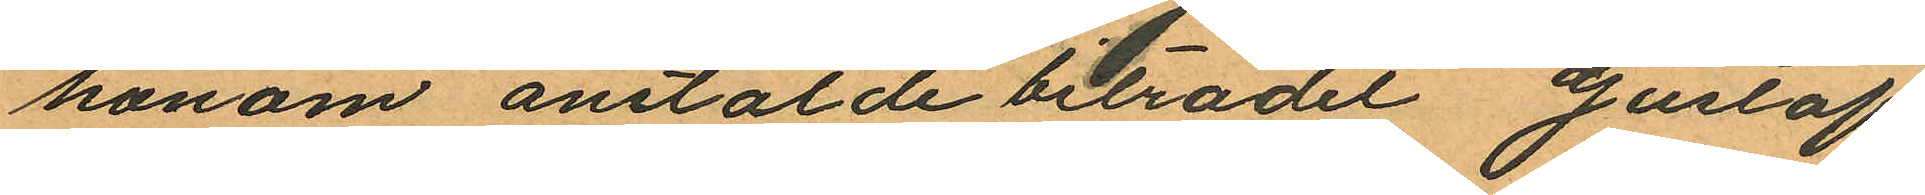honom anstälde biträdet Gustaf
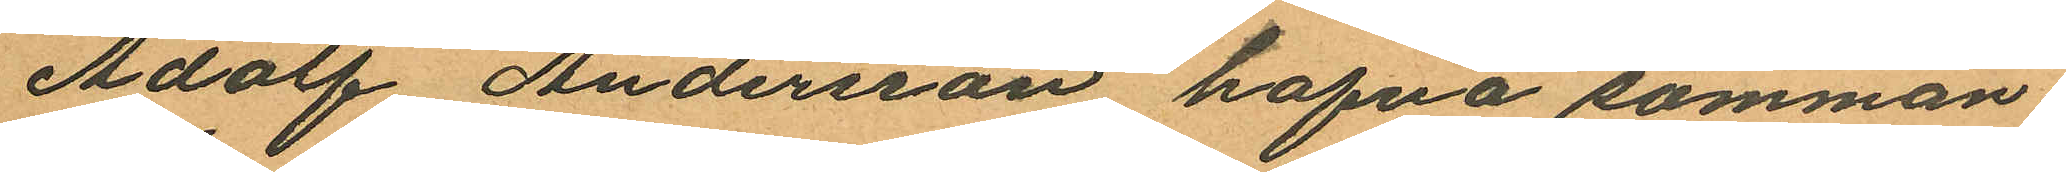Adolf Andersson hafva samman
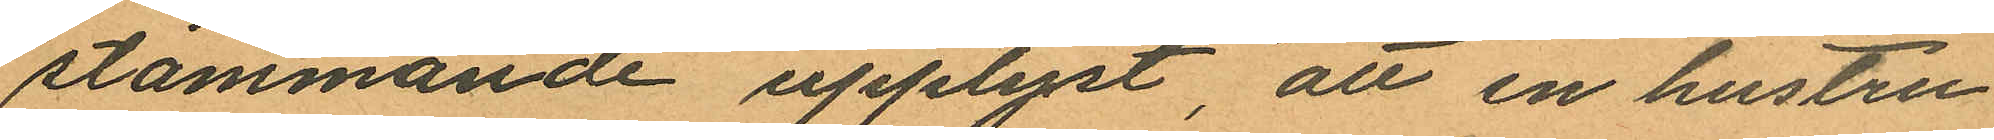stämmande upplyst, att en hustru
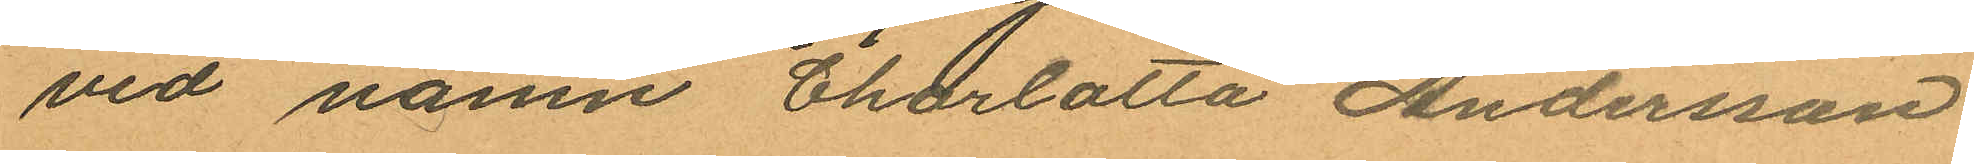vid namn Charlotta Andersson
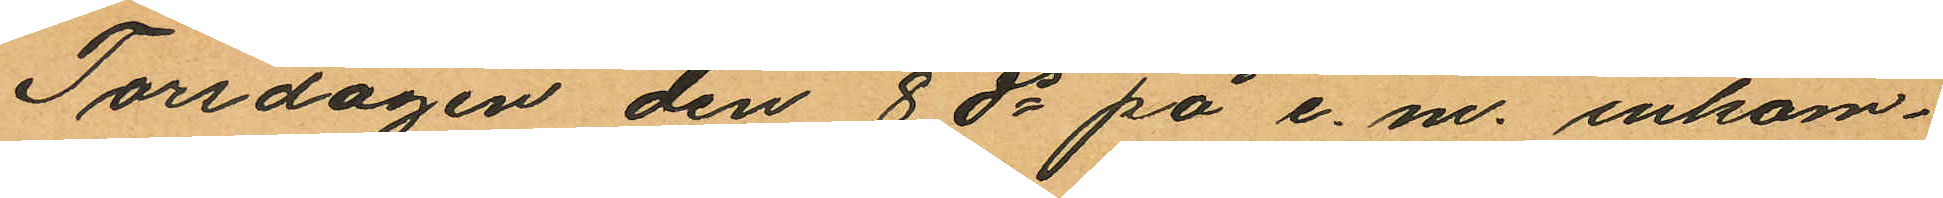Torsdagen den 8 ds på e. m. inkom¬
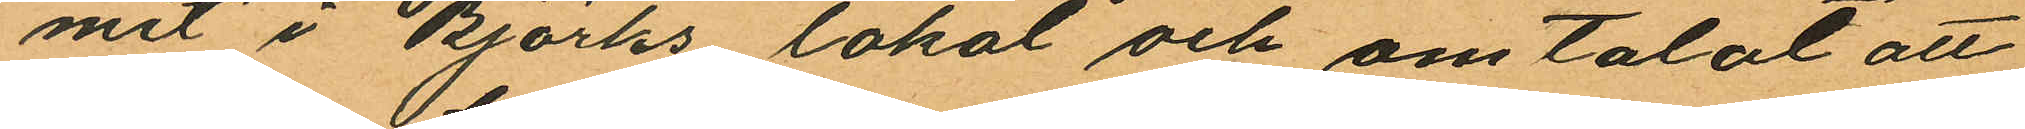mit i Björks lokal och omtalat att
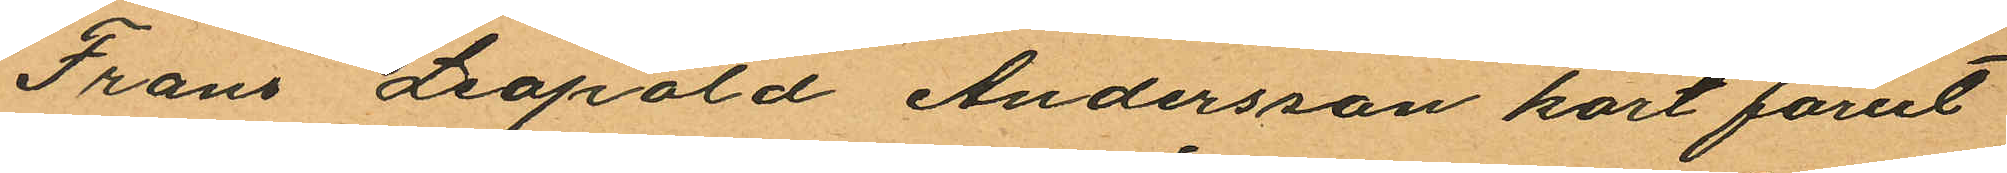Frans Leopold Andersson kort förut
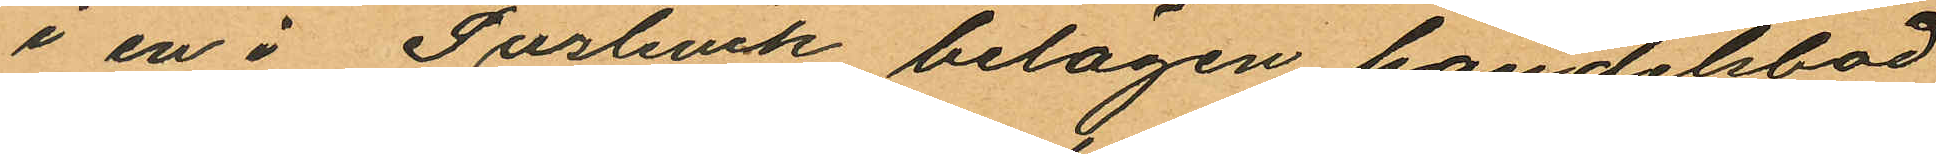i en i Puslevik belägen handelsbod
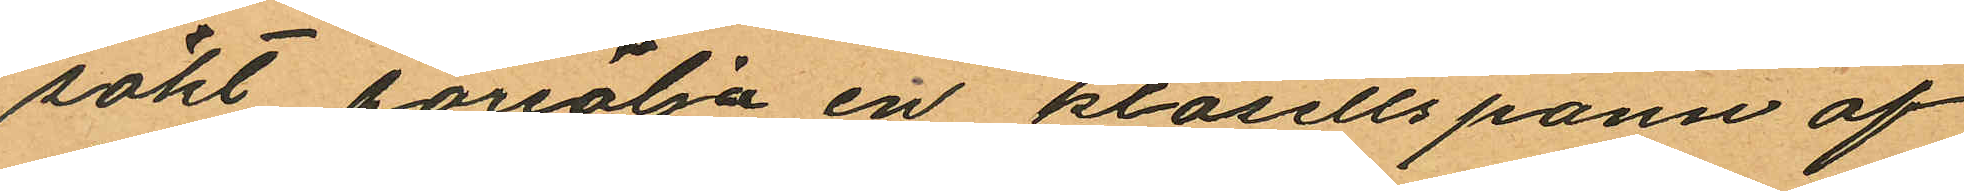sökt försälja en klosettspann af
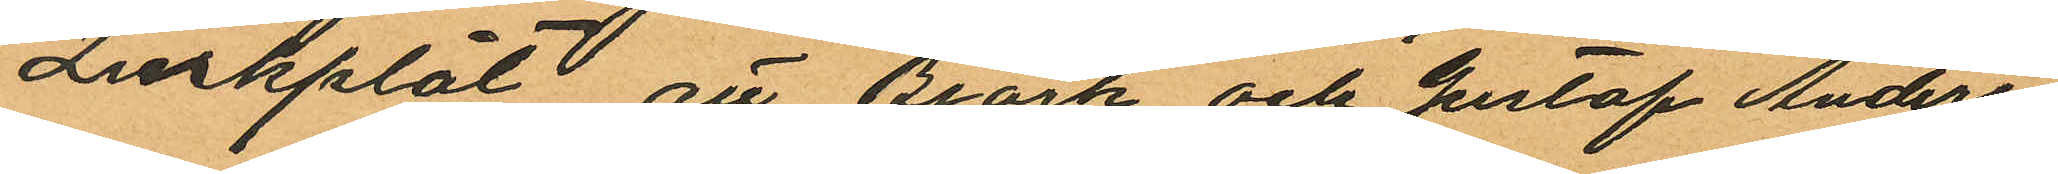Zinkplåt att Björk och Gustaf Anders¬
